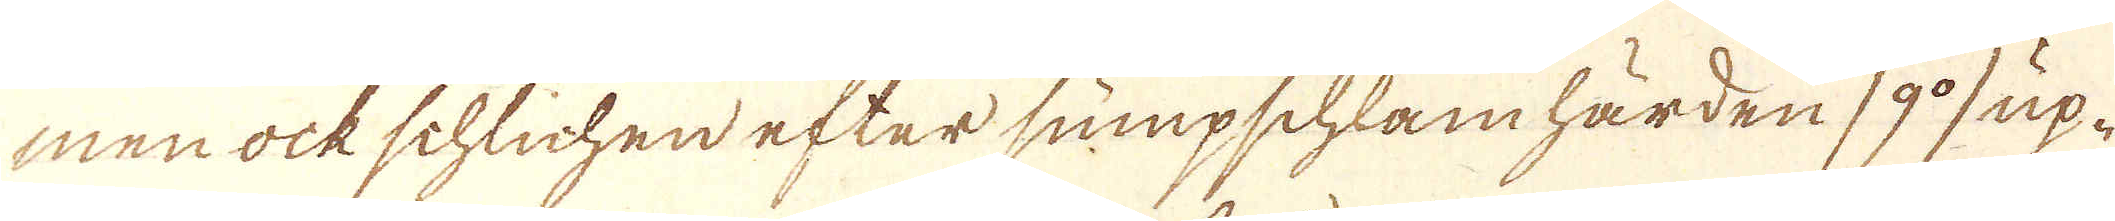men ock schlichen efter sumpschlamhärden /9:o/ up-
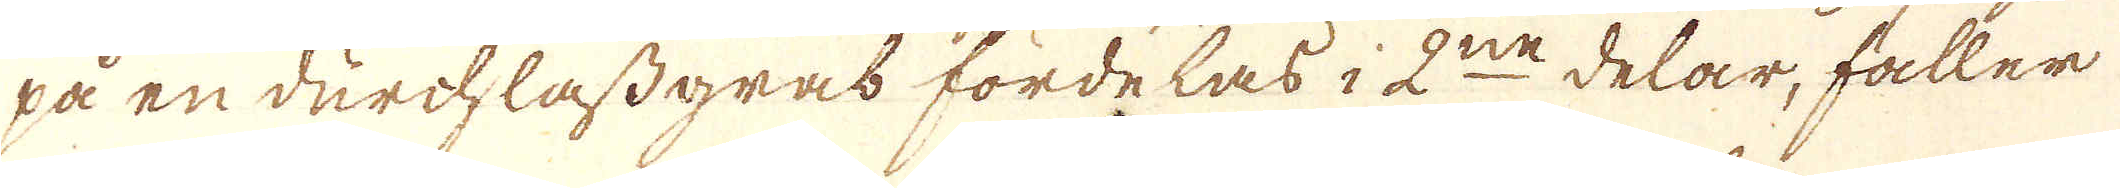på en durchlässgras fördelas i 2:ne delar, faller
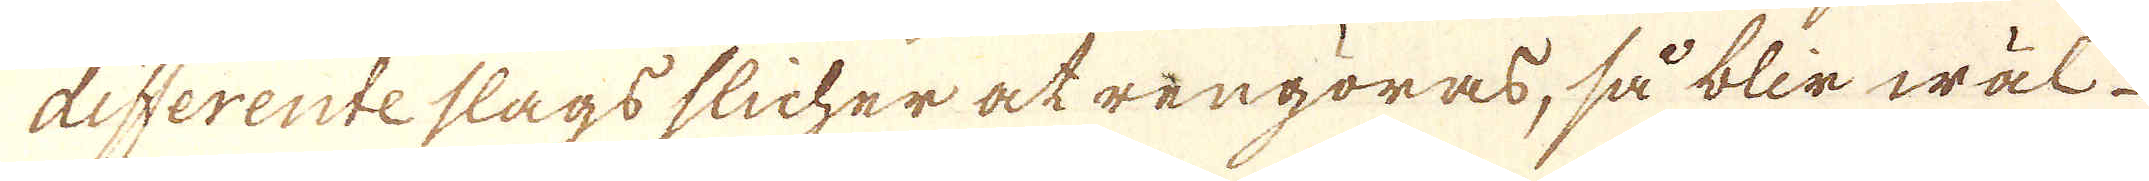disterente slags slicher at rengöras, så blir wäl
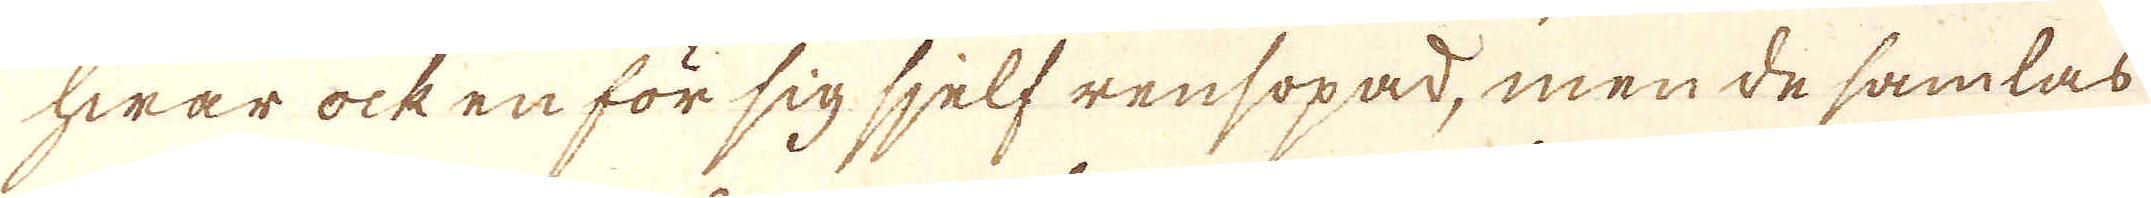hwar ock en för sig sjelf rensopad, men de samlas
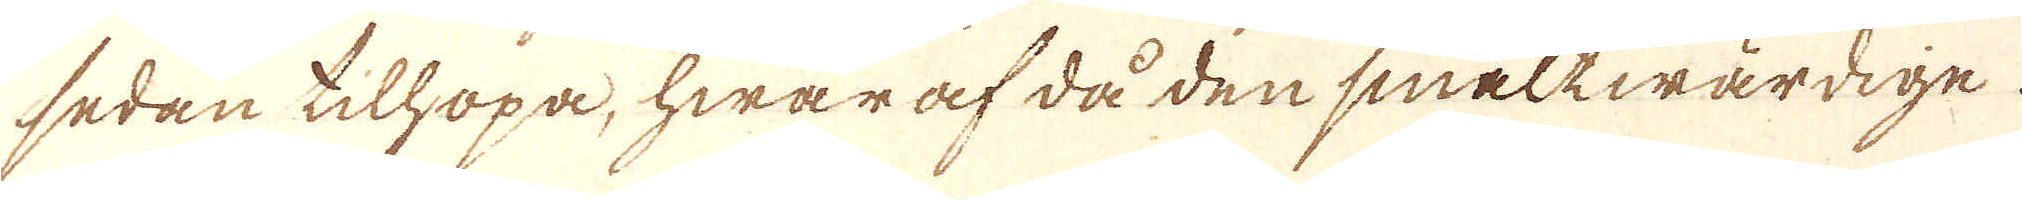sedan tilhöpa, hwaraf då den smältwärdige.
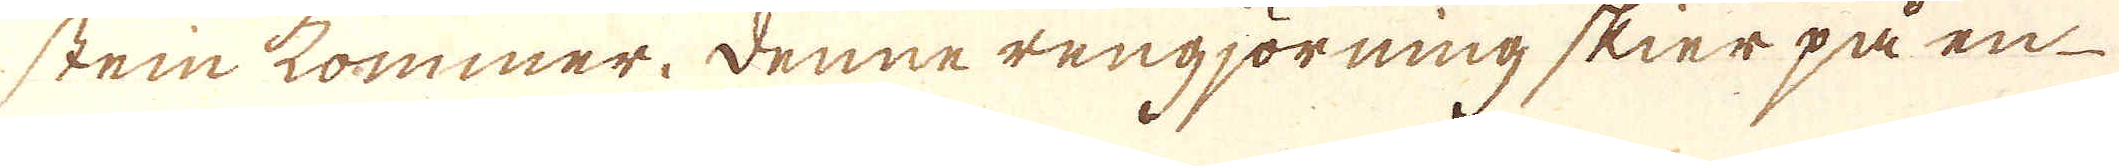steinkommer. Denne rengjörning skier på en
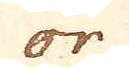or
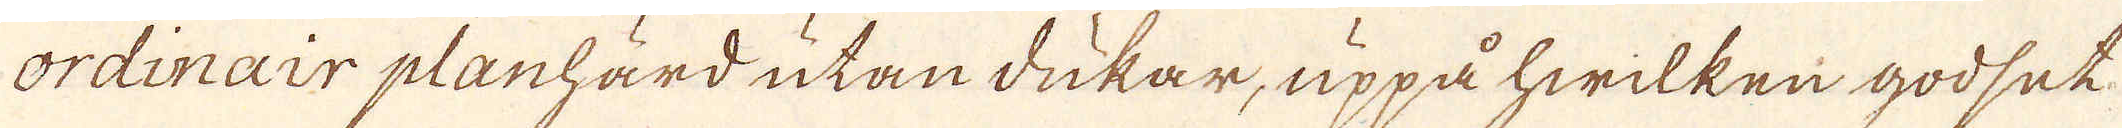ordinair planhärd utan dukar, uppå hwilken godset
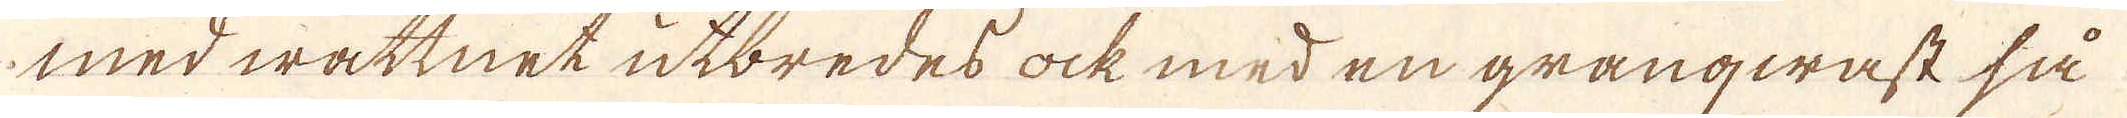med wattnet utbredes ock med en granqwast så
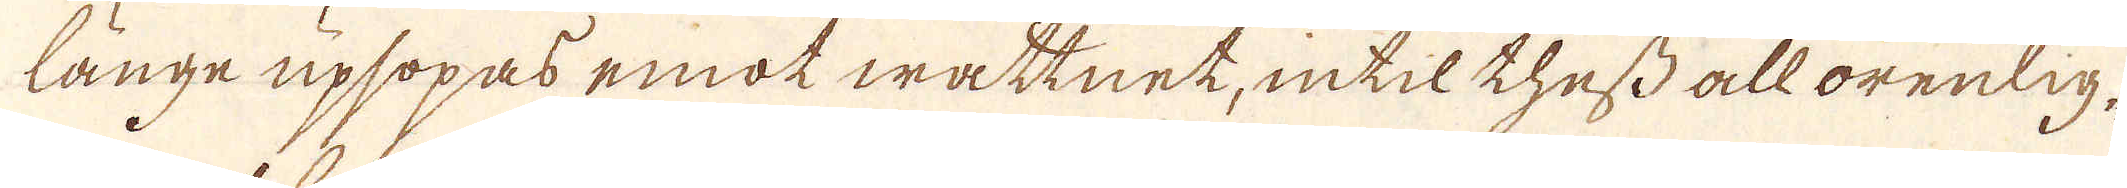länge upsopas emot wattnet, intil thess all orenlig-
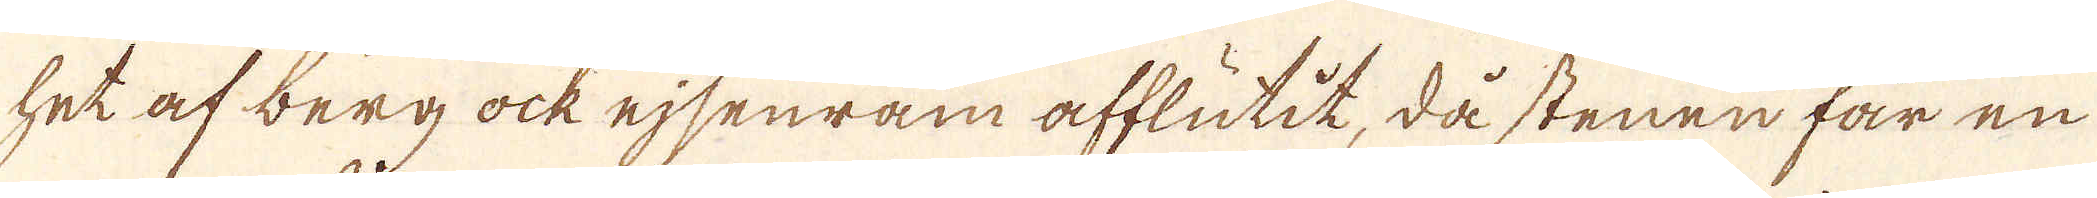het af berg ock ejsenram afflutit, då stenen får en
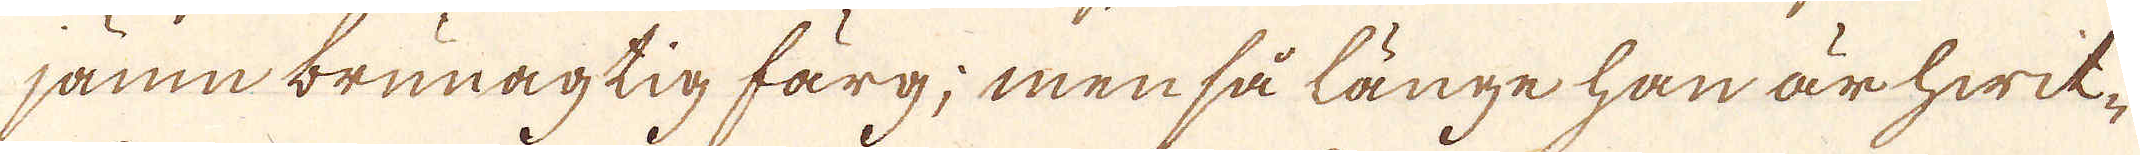jamn brunagtig färg; men så länge han är hwit-
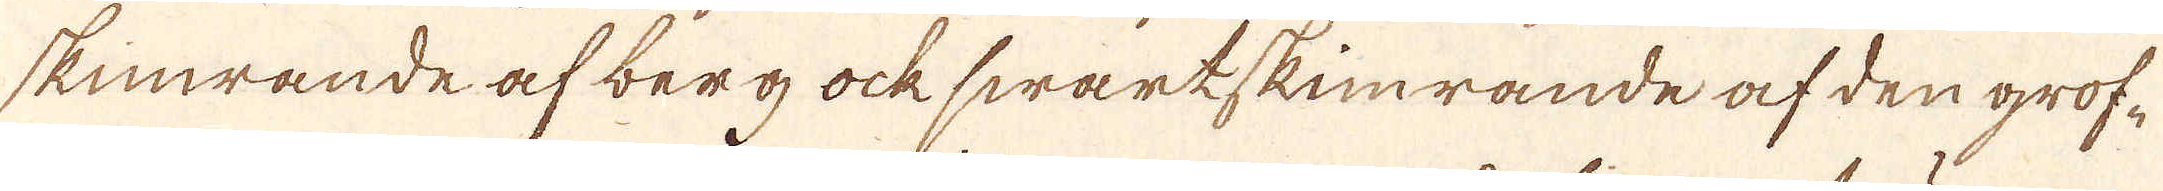skimmrande af berg ock swart skimrande af den grof-
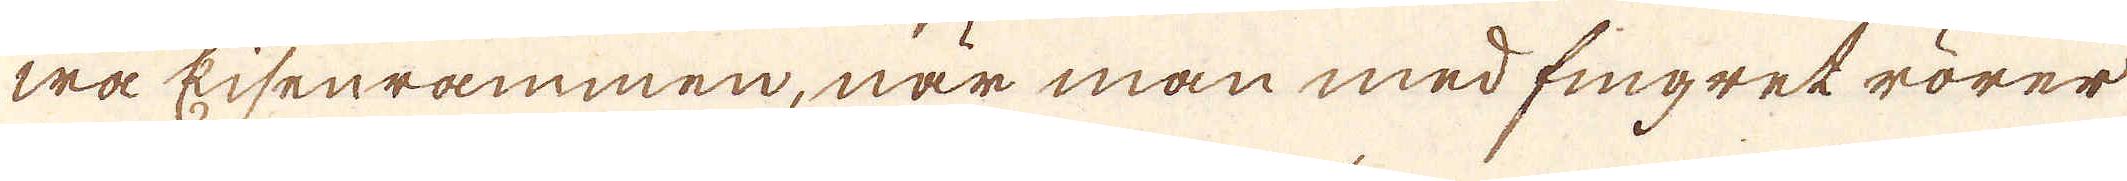wa Eisenrammen, när man med fingret rörer
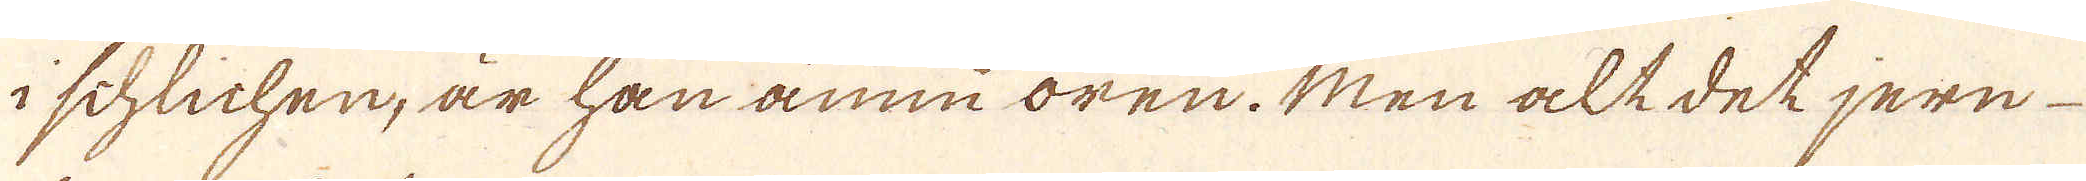i schlichen, är han ännu oren. Men alt det jern
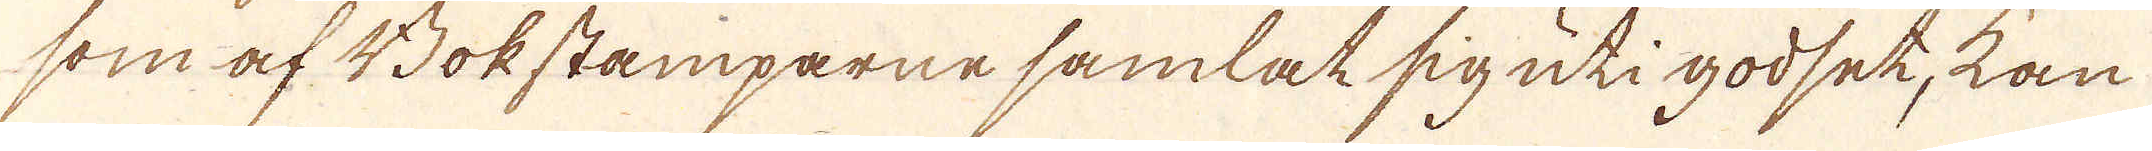som af Bokstamparne samlat sig uti godset, kan
